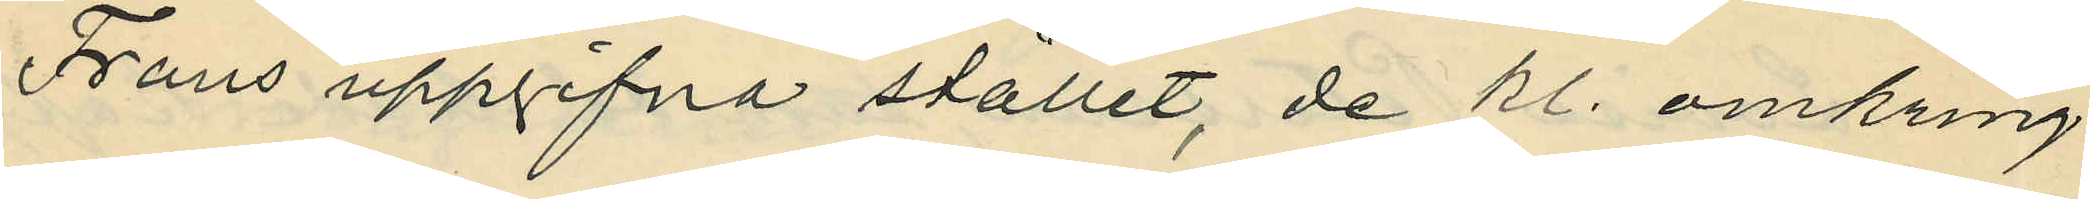Frans uppgifna stället, de kl. omkring
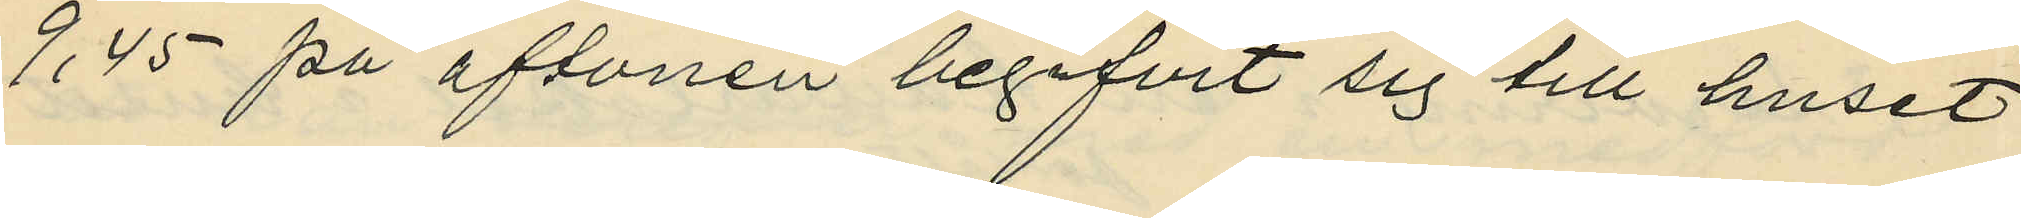9,45 på aftonen begifvit sig till huset
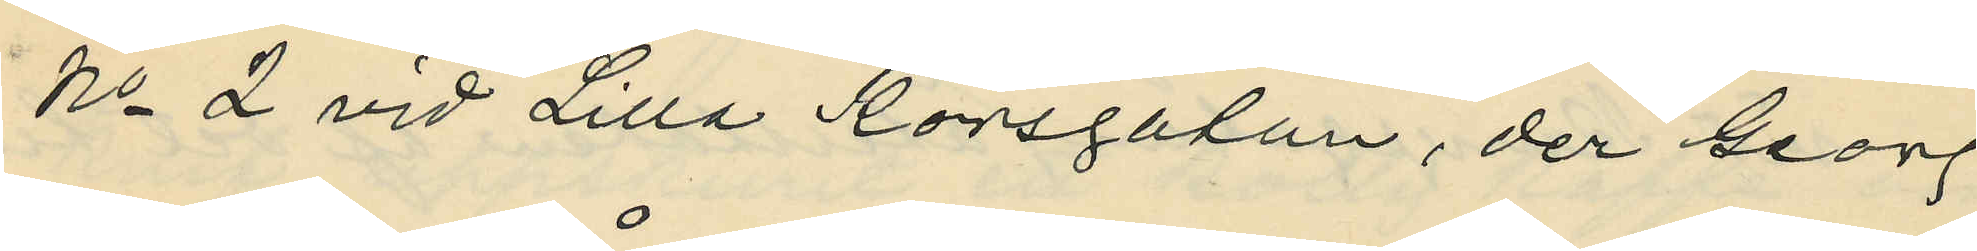No 2 vid Lilla Korsgatan, der Georg
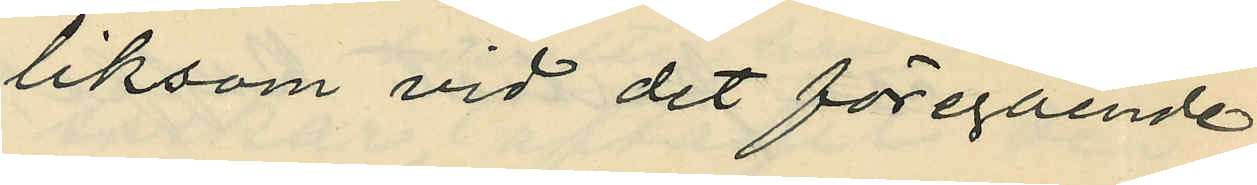liksom vid det föregående
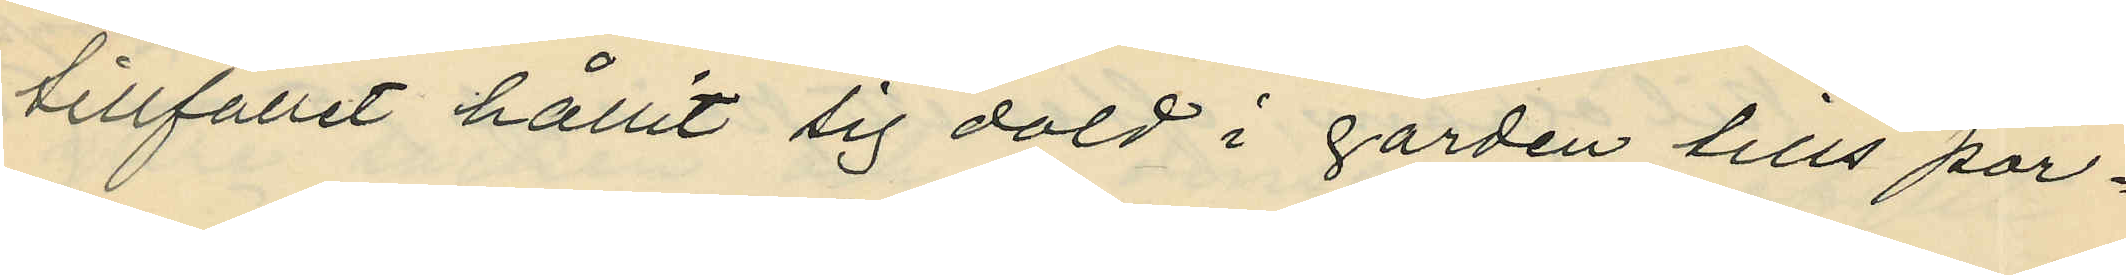tillfället hållit sig dold i gården tills por¬
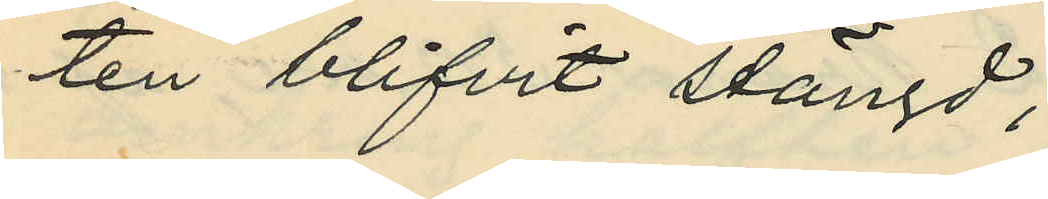ten blifvit stängd;
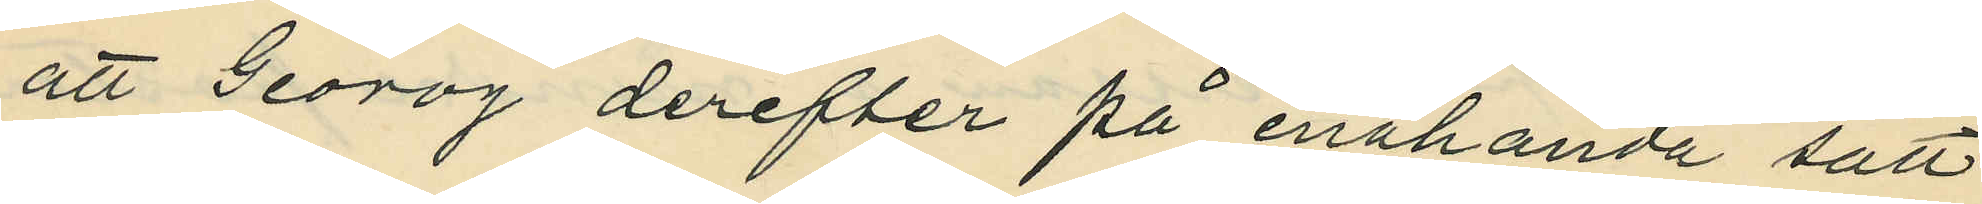att Georog derefter på enahanda sätt
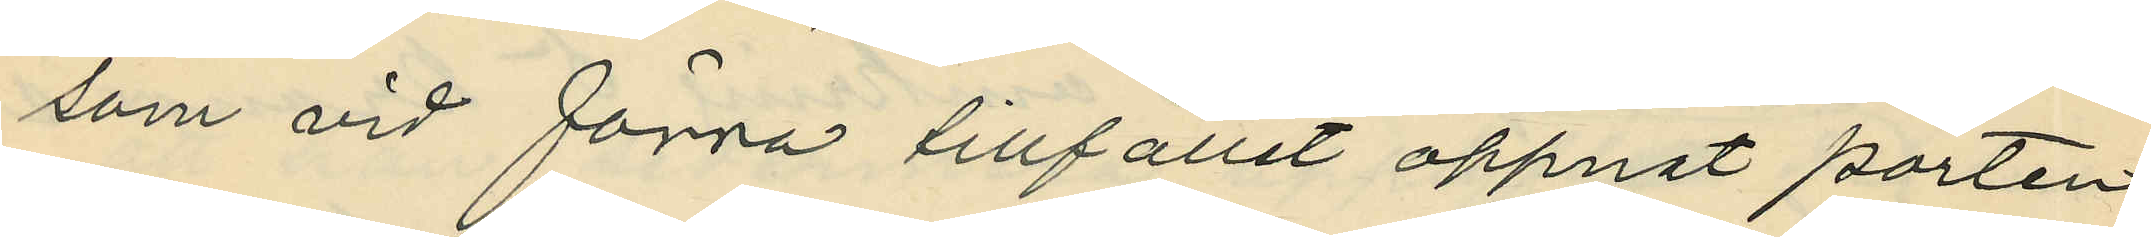som vid förra tillfället öppnat porten,
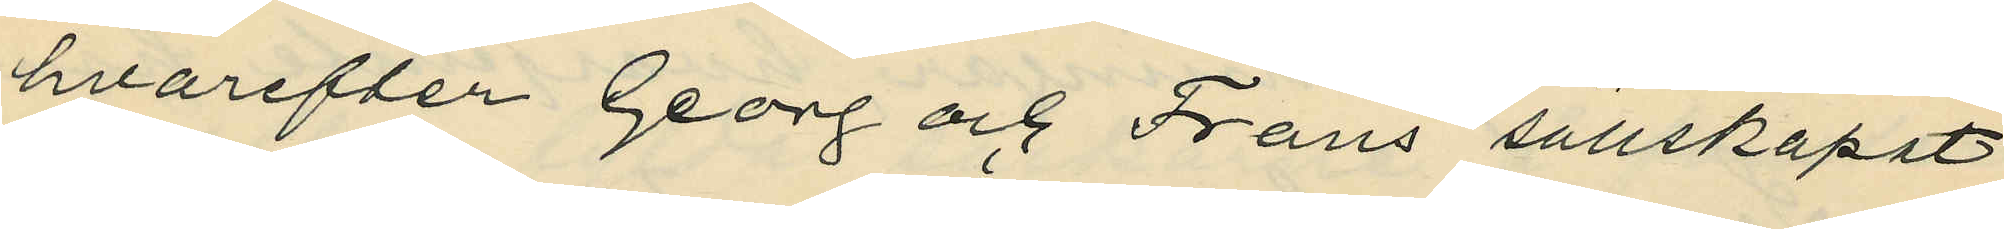hvarefter Georg och Frans sällskapat
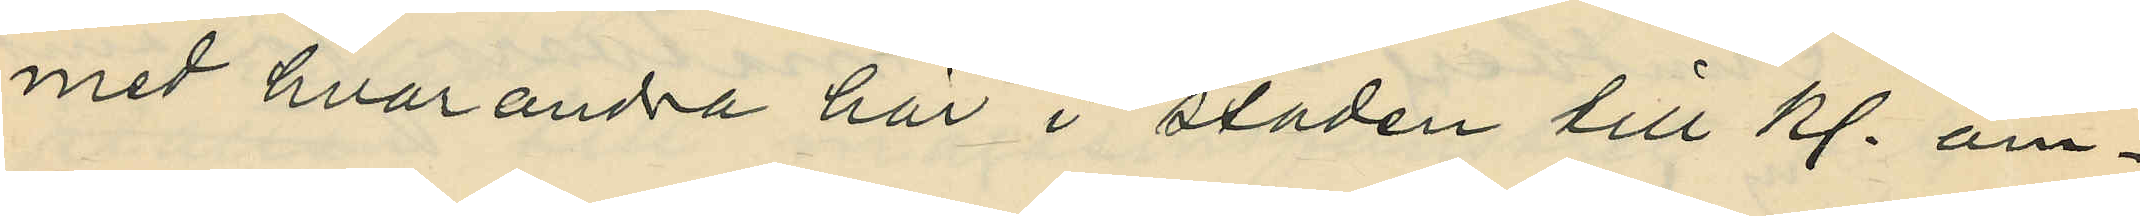med hvarandra här i staden till kl. om¬
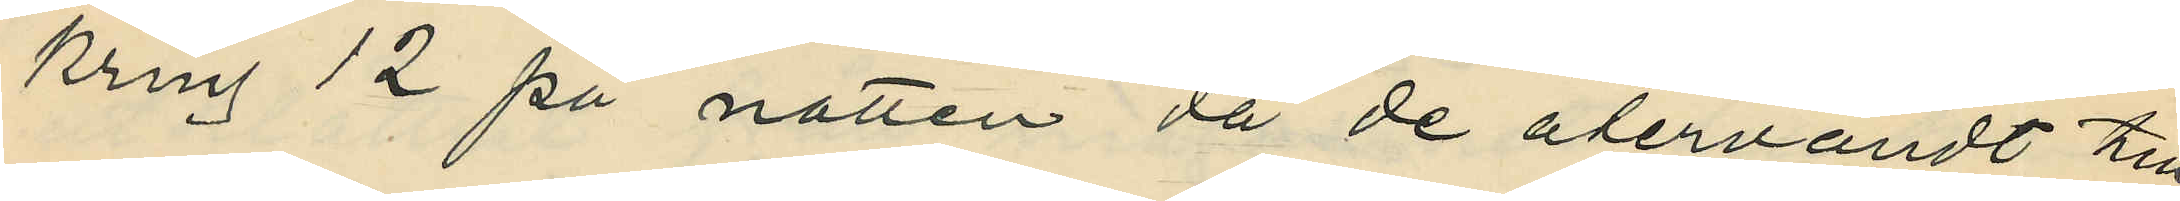kring 12 på natten då de återvändt till
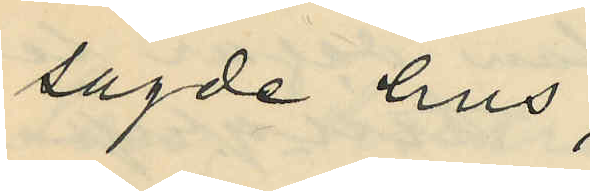sagde hus;
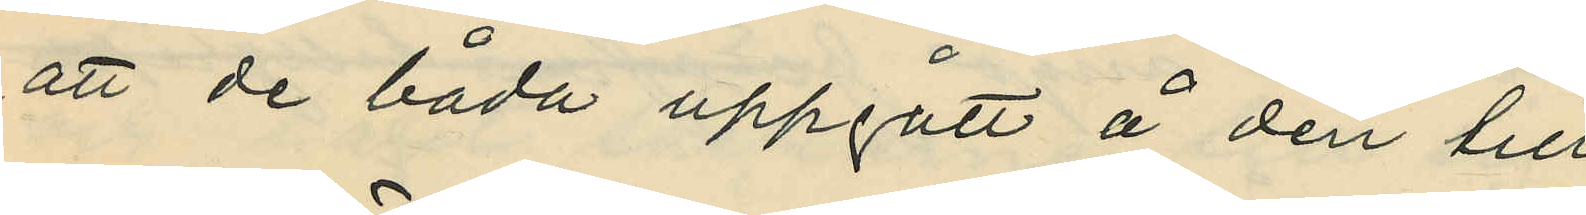att de båda uppgått å den till
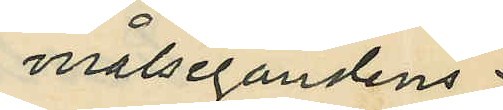målsegandens
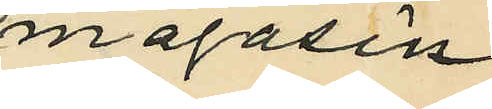magasin
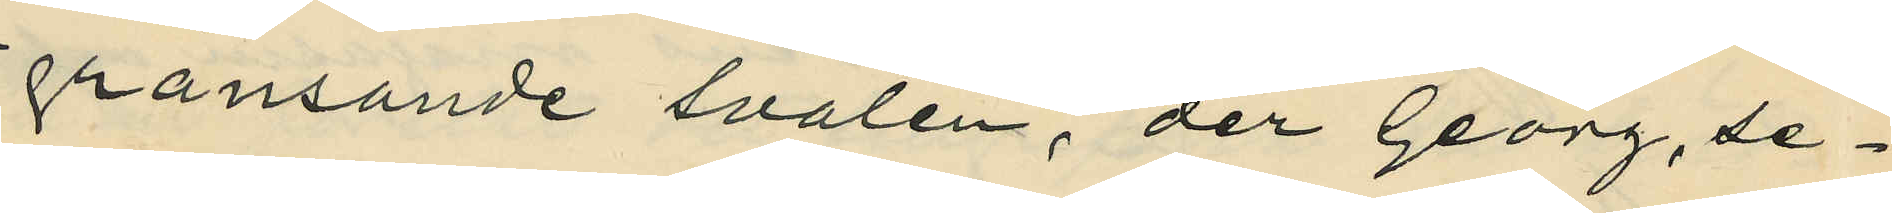gränsande svalen, der Georg, se¬
